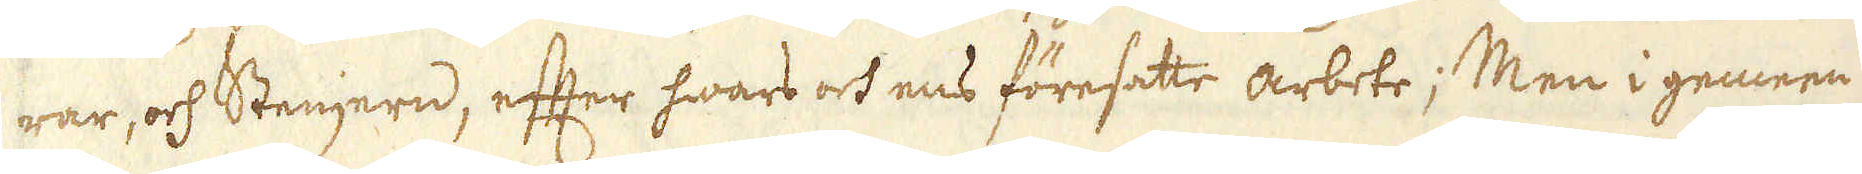war, och Stenjern, efter hwars och ens föresatte arbete; Men i gemeen
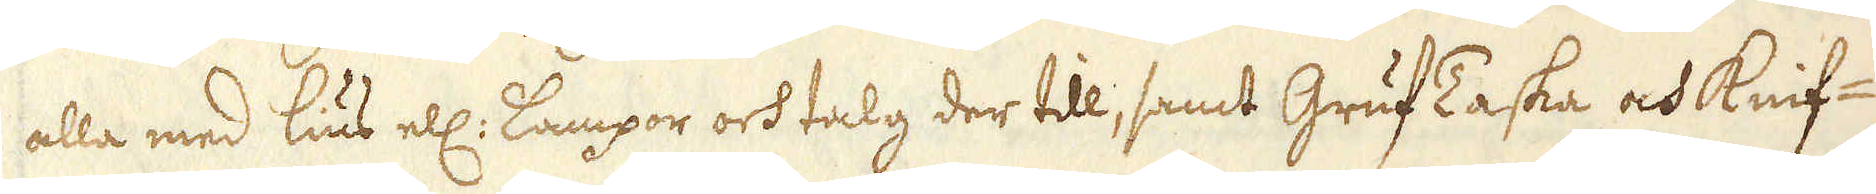alla med lius ell: Lampor och talg der till, samt GrufTaska och Knif-
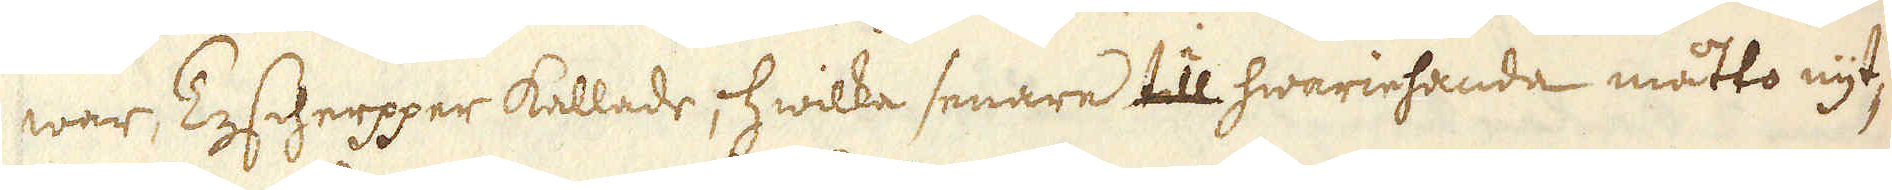war, Tescherpper kallade, hwilka senare till hwariehanda måtto nyt-
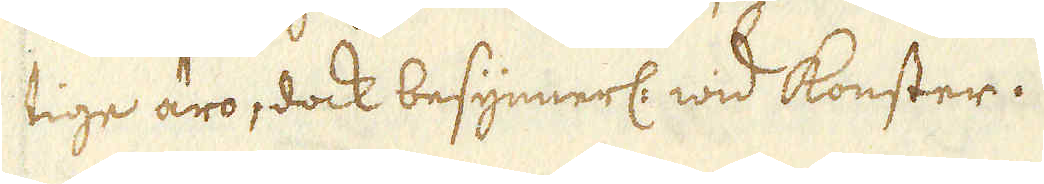tige äro, dock besynnerl: wid konster.
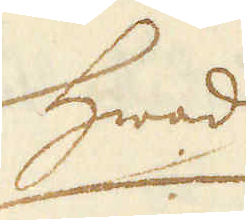Hwad
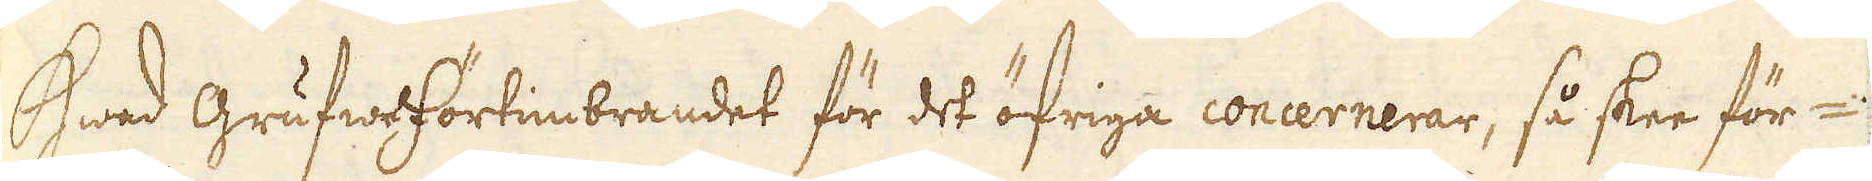Hwad grufweförtimbrandet för det öfriga concernerar, så skee för-
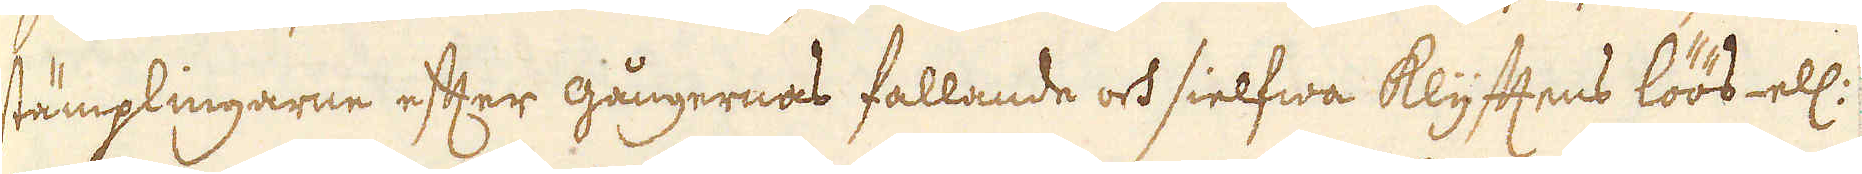stämplingarne efter gångernas fallande och sielfwa Klyfftens löös- ell:
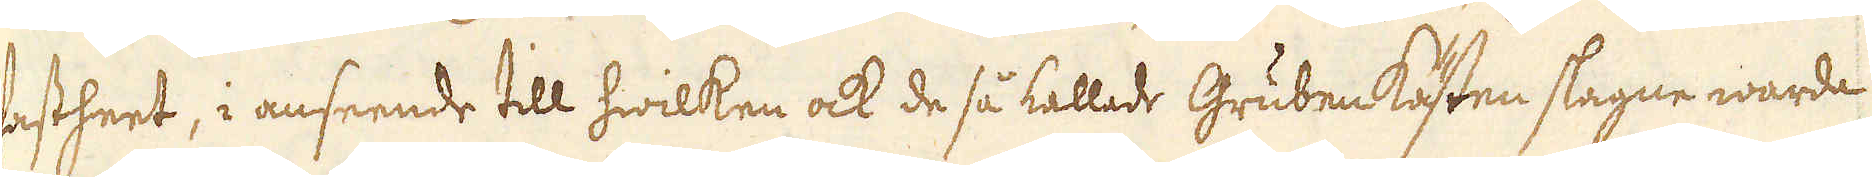fastheet, i anseende till hwilken ock de så kallade Gruben Kästen slagne warda
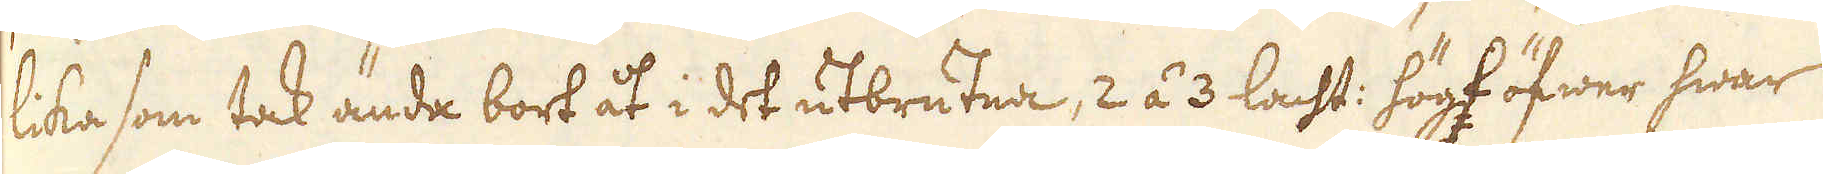lika som tak ända bort åt i det utbrutna, 2 á 3 lacht: högt öfwer hwar
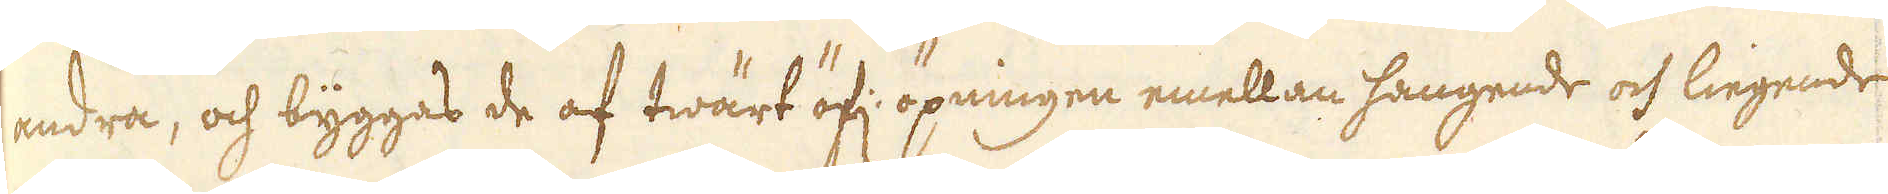andra, och byggas de af twärt öf: öpningen emellan hangende och liegende
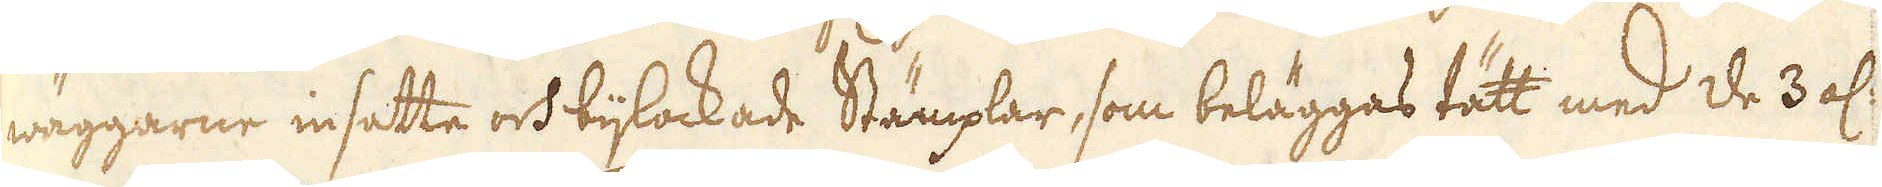wäggarne insatte och bijlockade Stämplar, som beläggas tätt med de 3 al:
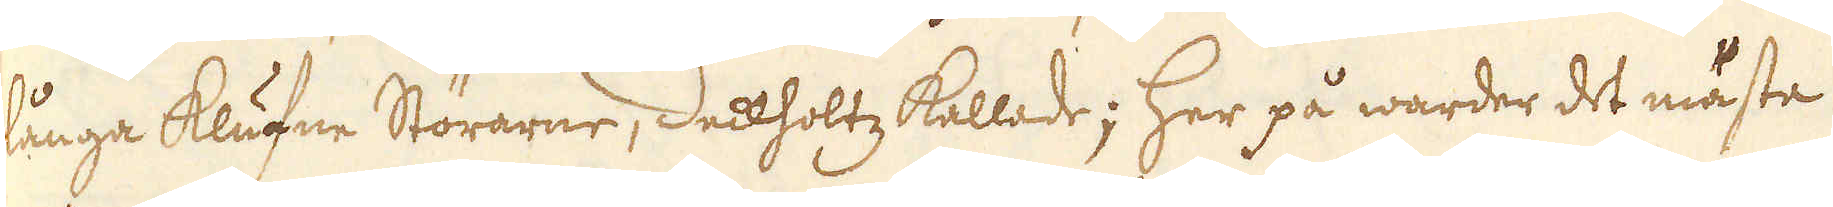långa klufne Störarne, Deckholtz kallade; Her på warder det mästa
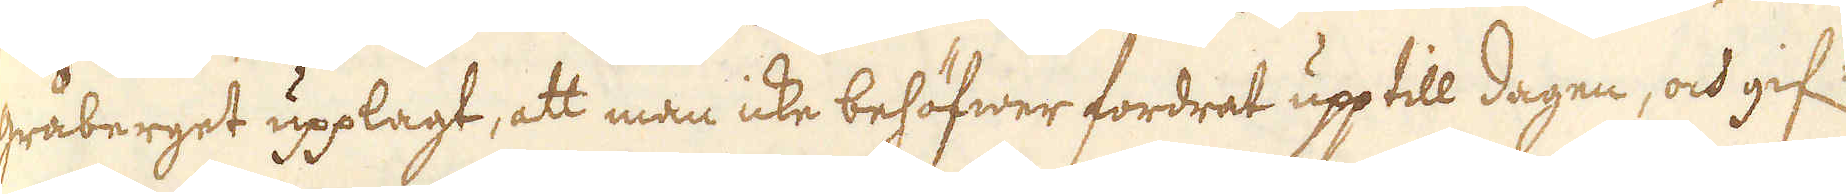gråberget upplagt, att man icke behöfwer fordrat upp till dagen, och gif:
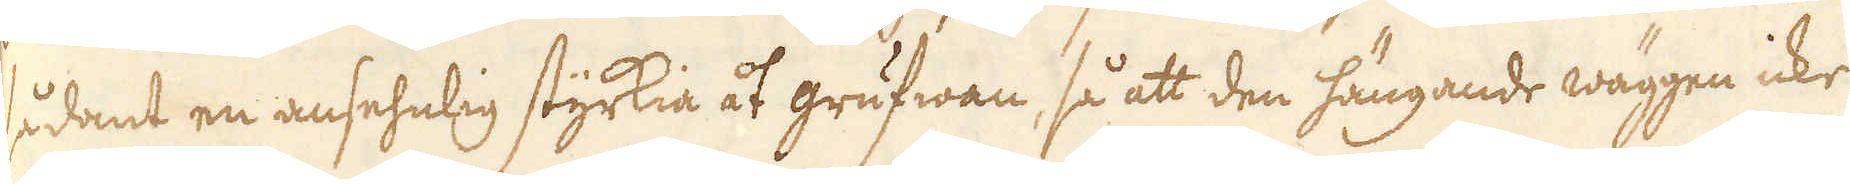sådant en ansehnlig styrkia åt grufwan, så att den hängande wäggen icke
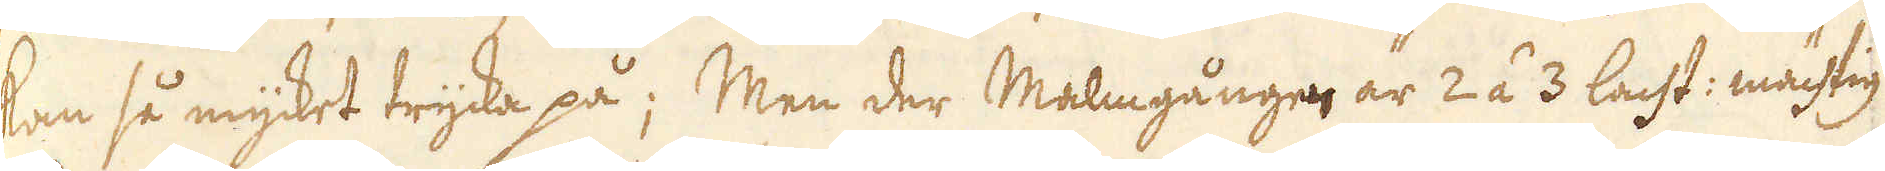kan så mycket trycka på; Men der Malmgången är 2 á 3 lacht: mächtig
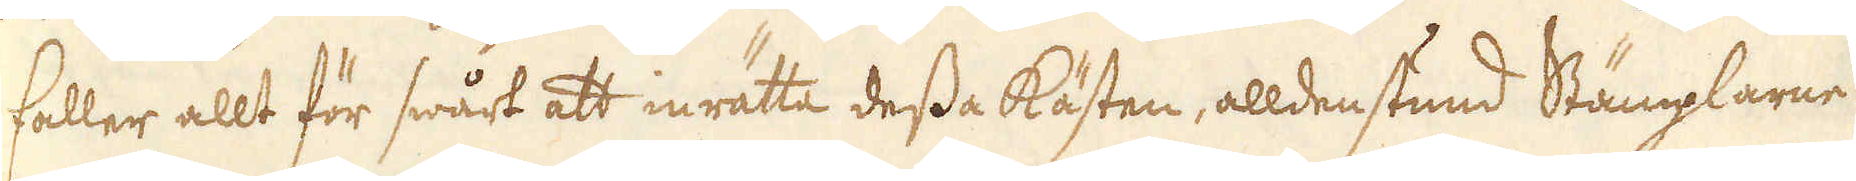faller allt för swårt att inrätta dessa Kästen, alldenstund Stämplarne
